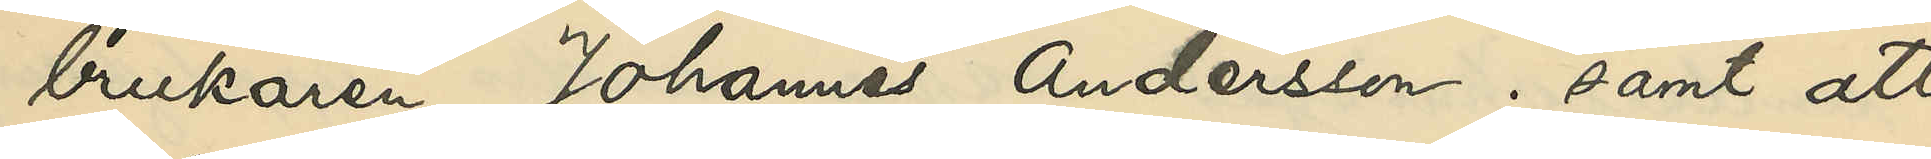brukaren Johannes Andersson; samt att
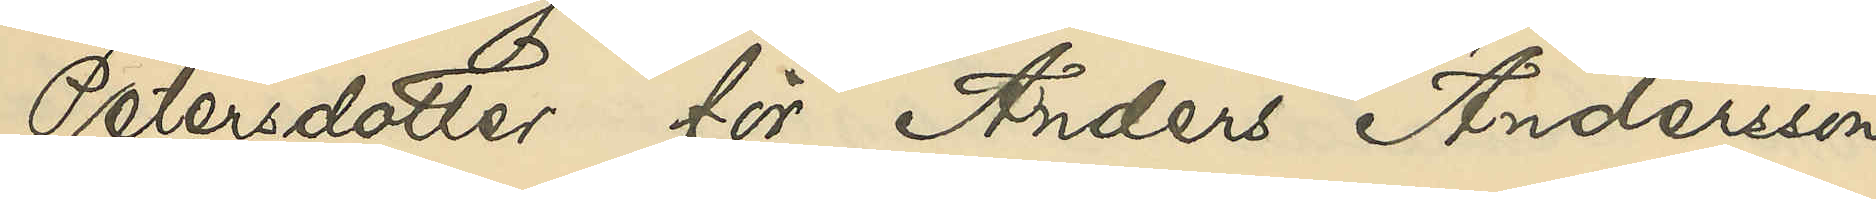Petersdotter för Anders Andersson,
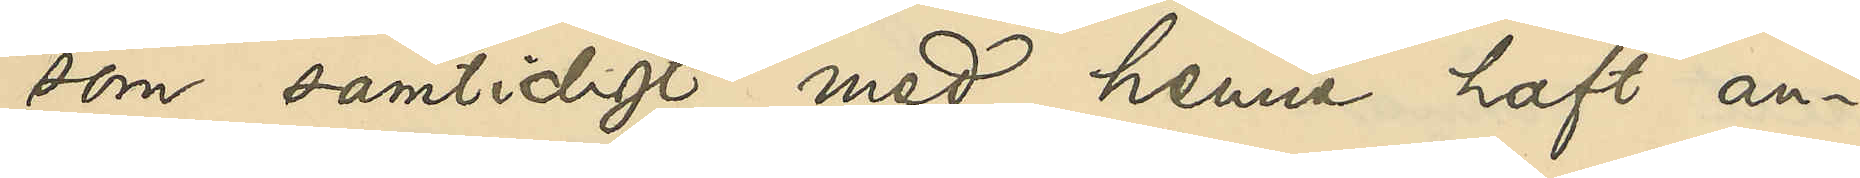som samtidigt med henne haft an¬
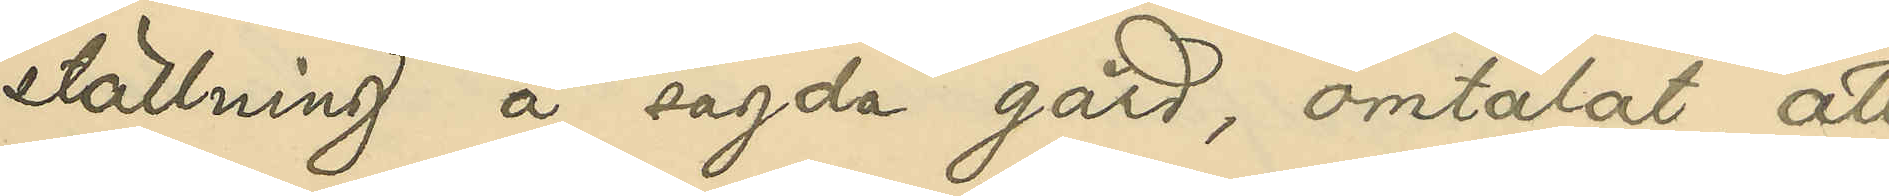ställning å sagda gård, omtalat, att
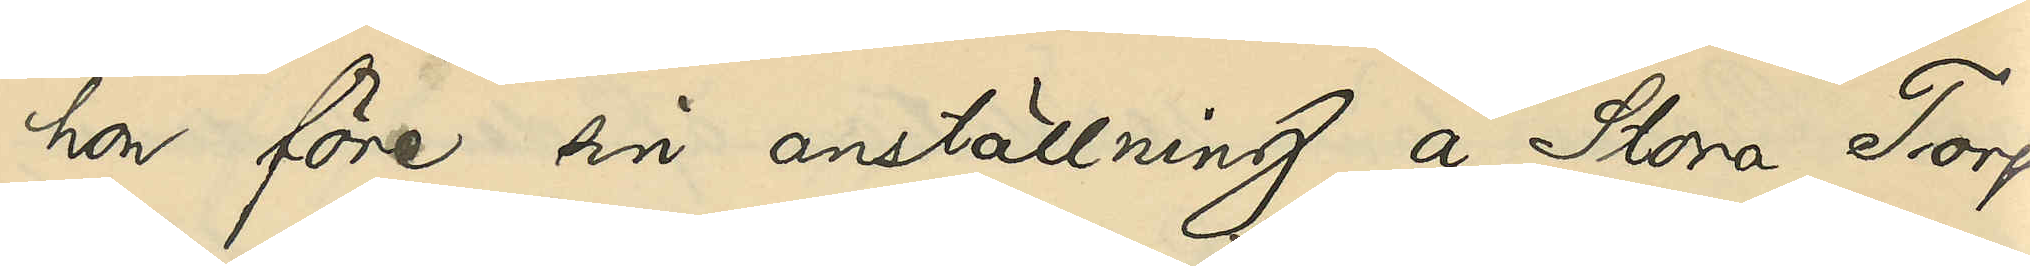hon före sin anställning å Stora Torp
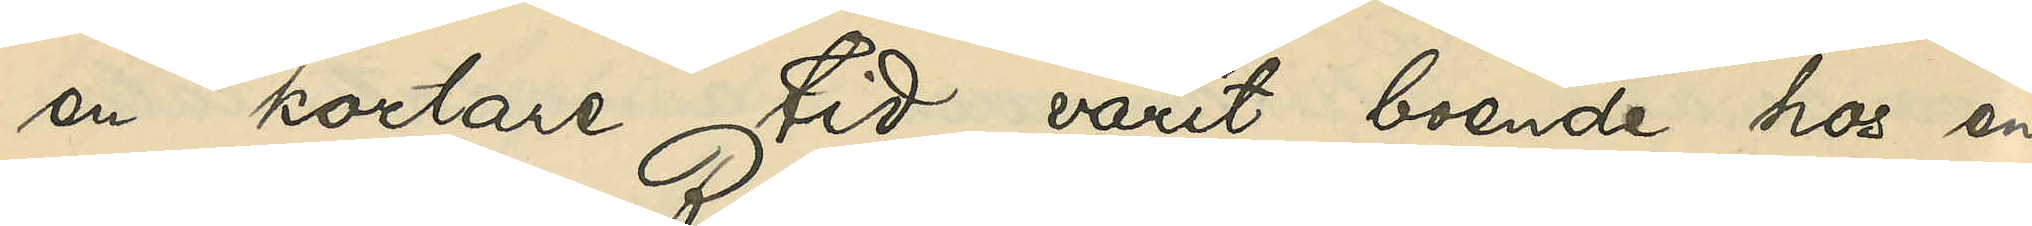en kortare tid varit boende hos en
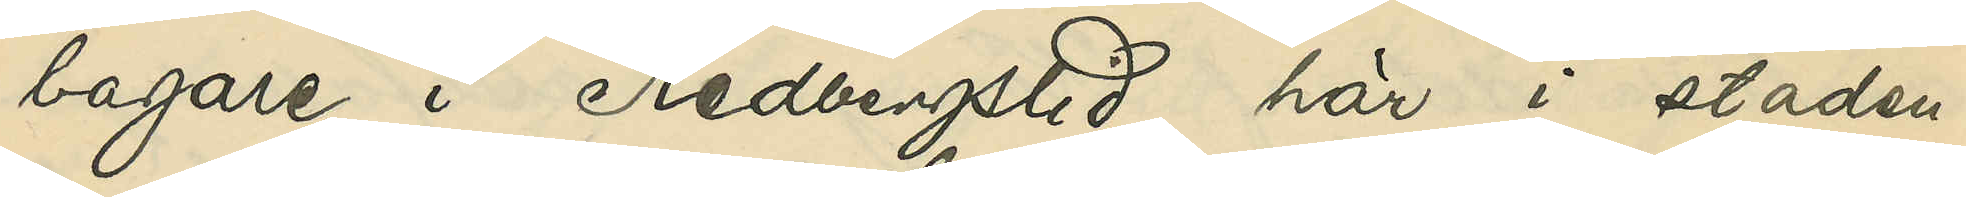bagare i Redbergslid här i staden.
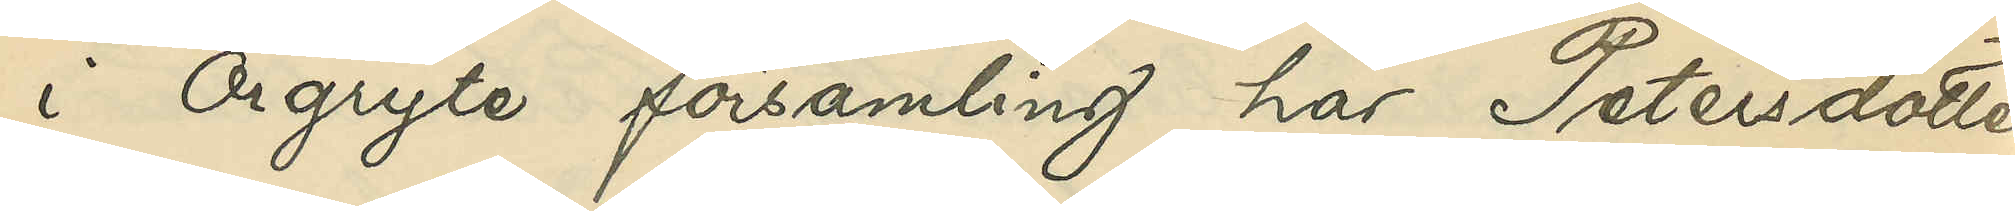i Örgryte församling har Petersdotter
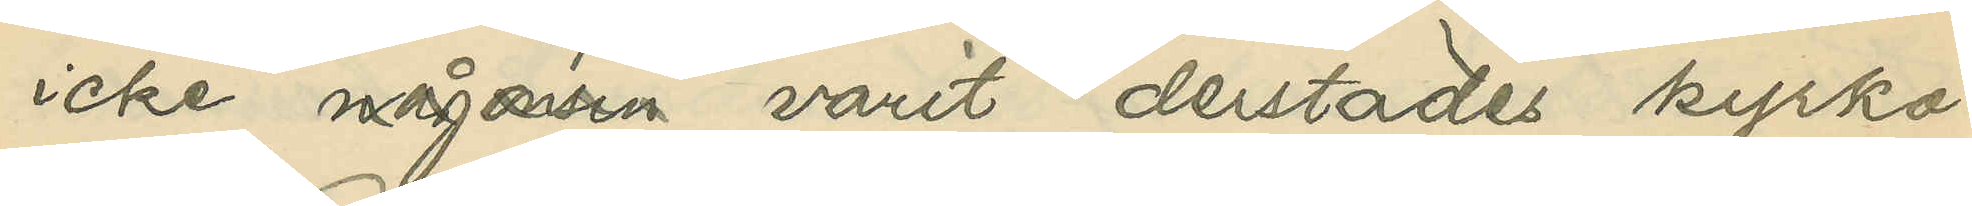icke någonsin varit derstäde kyrko¬
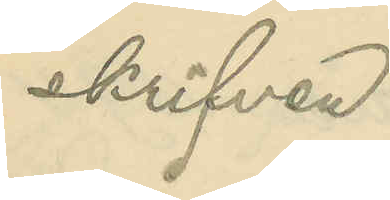skrifven.
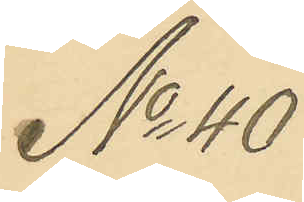No 40
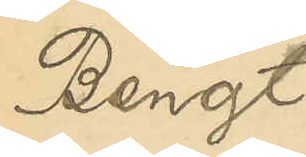Bengt
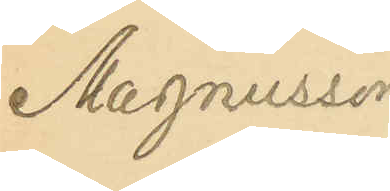Magnusson
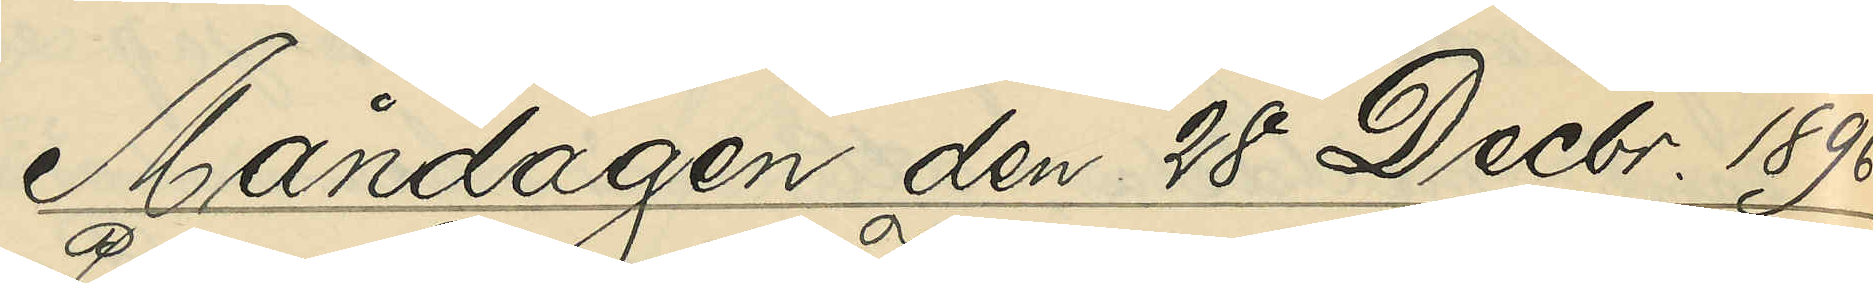Måndagen den 28 Decbr. 1896.
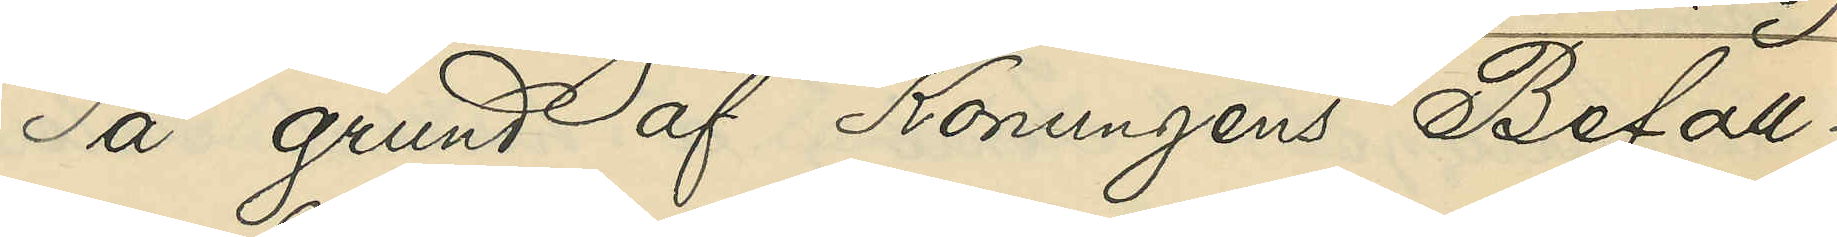På grund af Konungens Befall¬
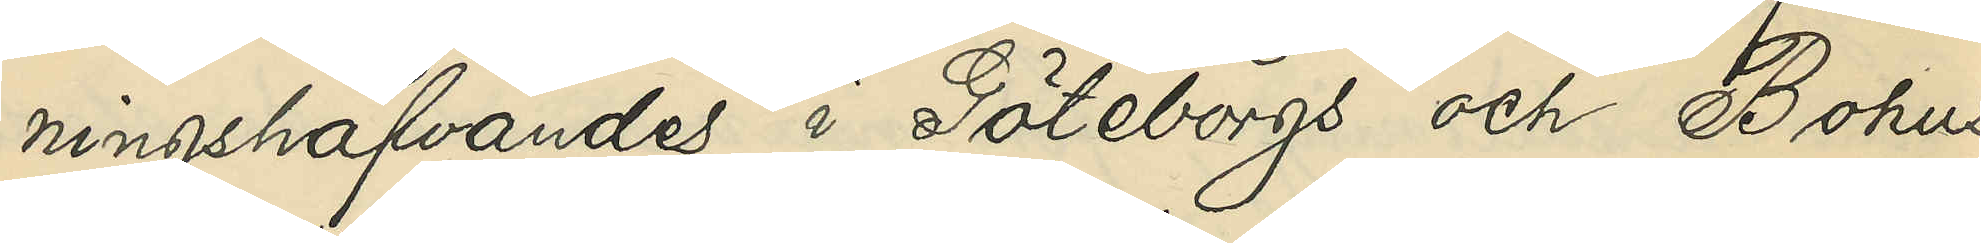ningshafvandes i Göteborgs och Bohus
